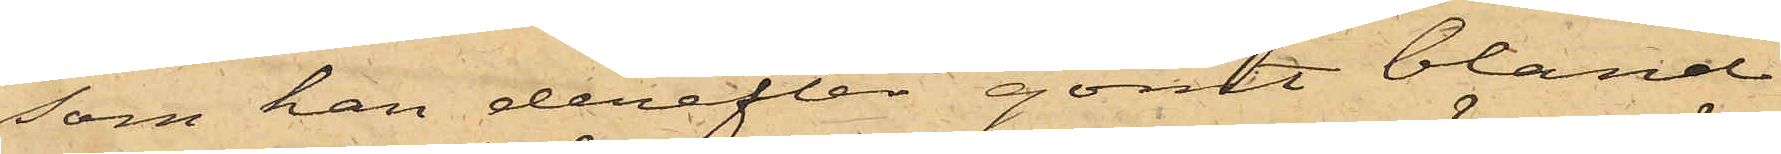som han derefter gömt bland
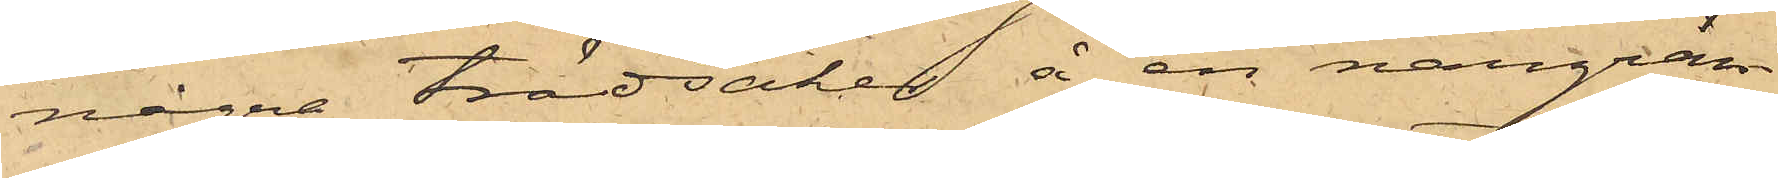några trädsaker å en närgrän¬
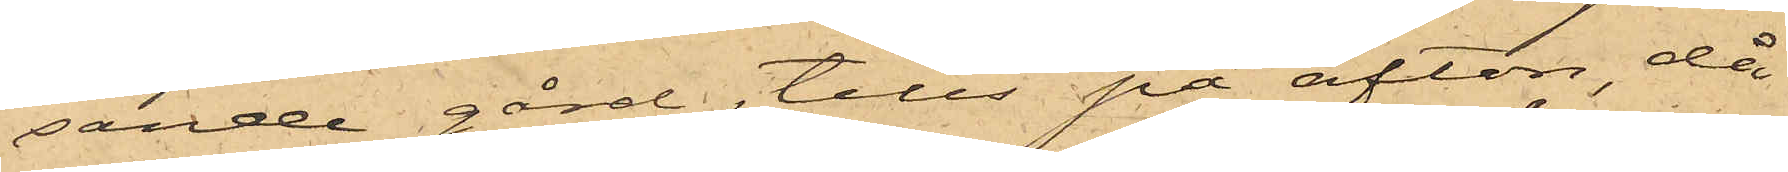sande gård, tills på afton, då
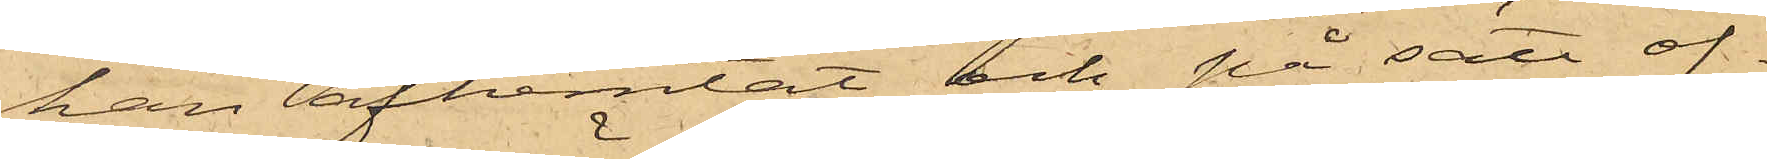han afhemtat och, på sätt of¬
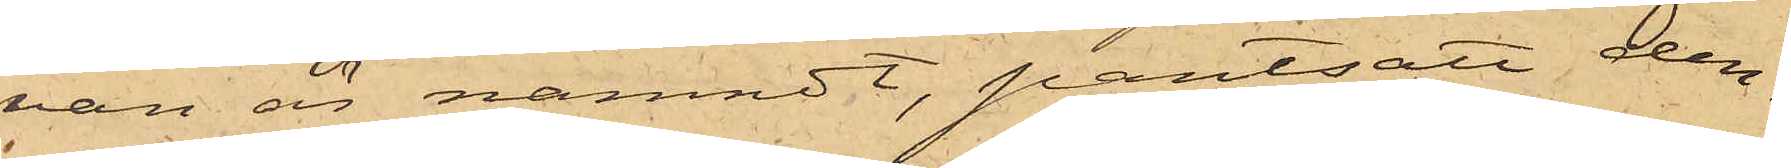van är nämndt, pantsatt den¬
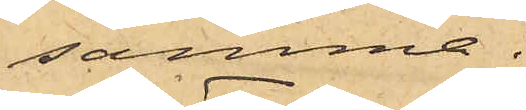samma.
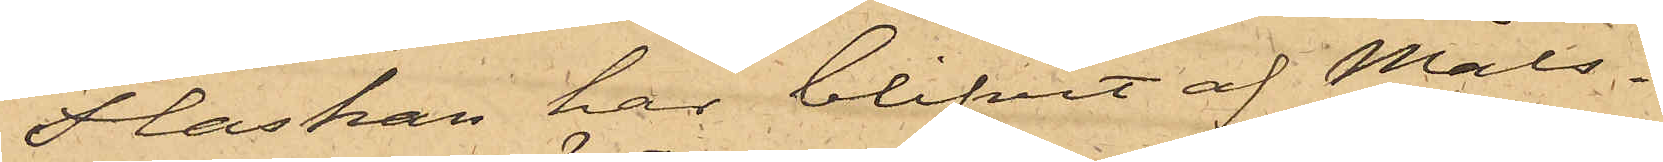Flaskan har blifvit af Måls¬
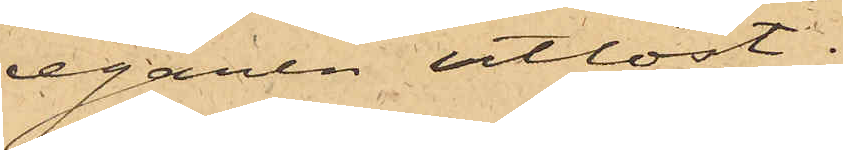egaren utlöst.
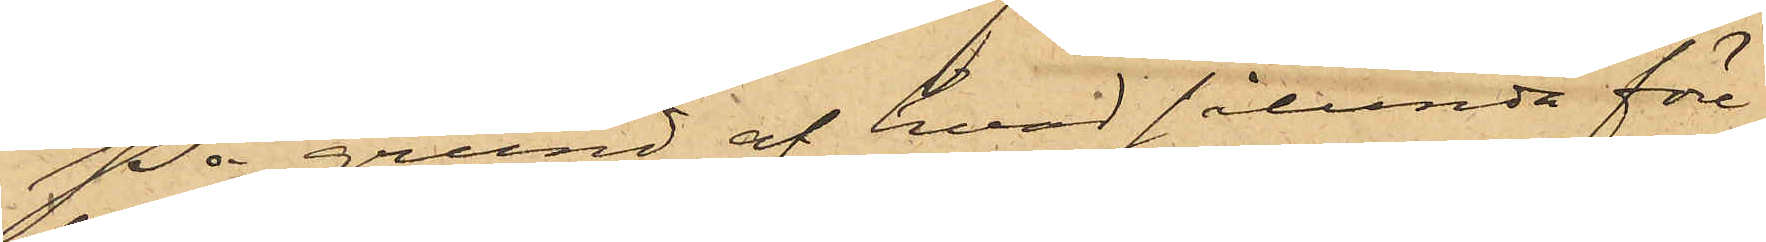På grund af hvad sålunda före¬
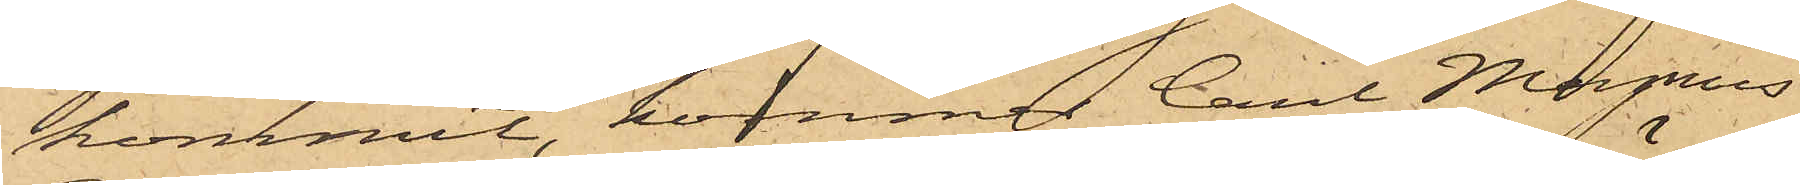kommit, kommer Carl Magnus
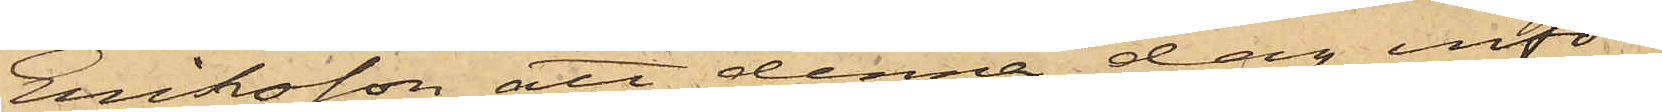Eriksson att denna dag inför
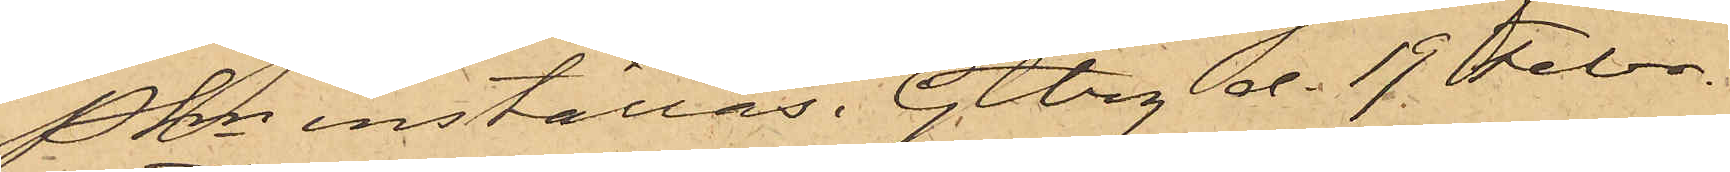Pkn inställas. Gtbrg d. 19 Febr.
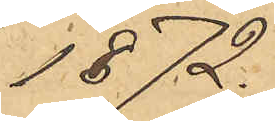1872.
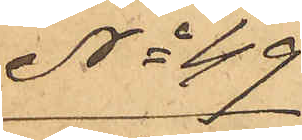No 49
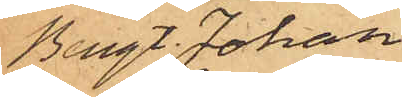Bengt Johan
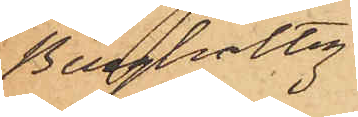Bergholtz.
